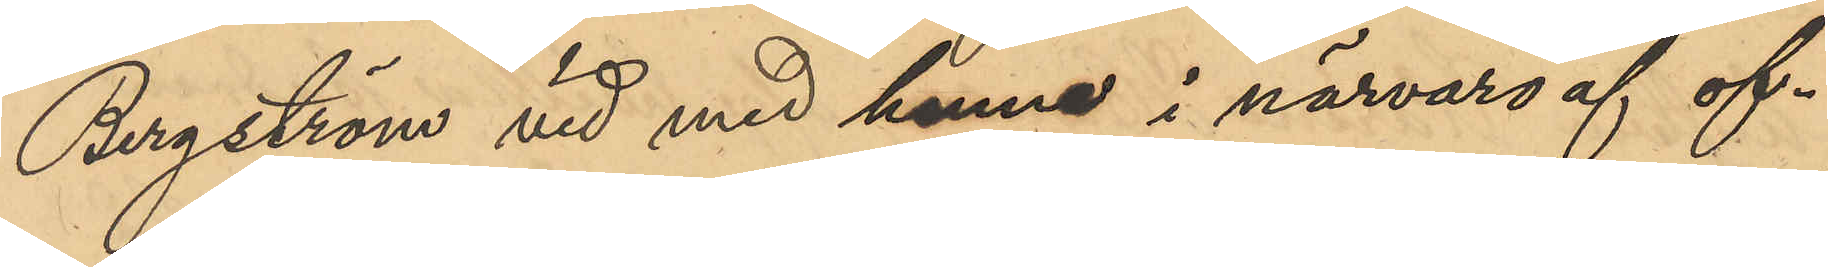Bergström vid med henne i närvaro af of¬
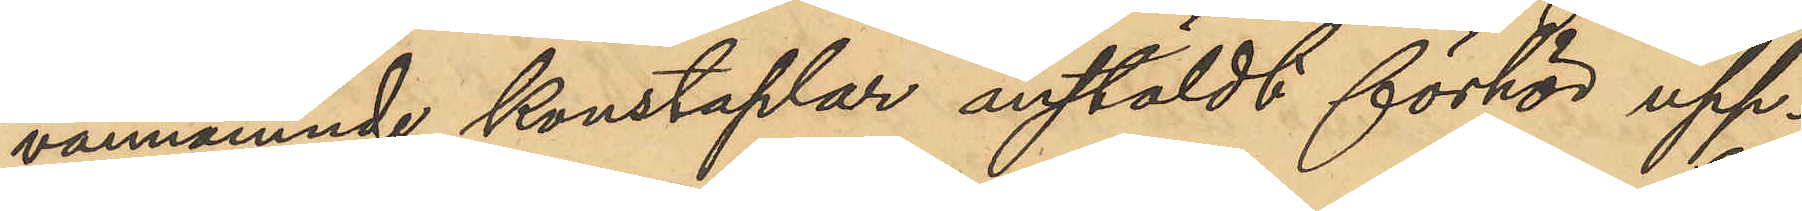vannämnde konstaplar anstäldt förhör upp¬
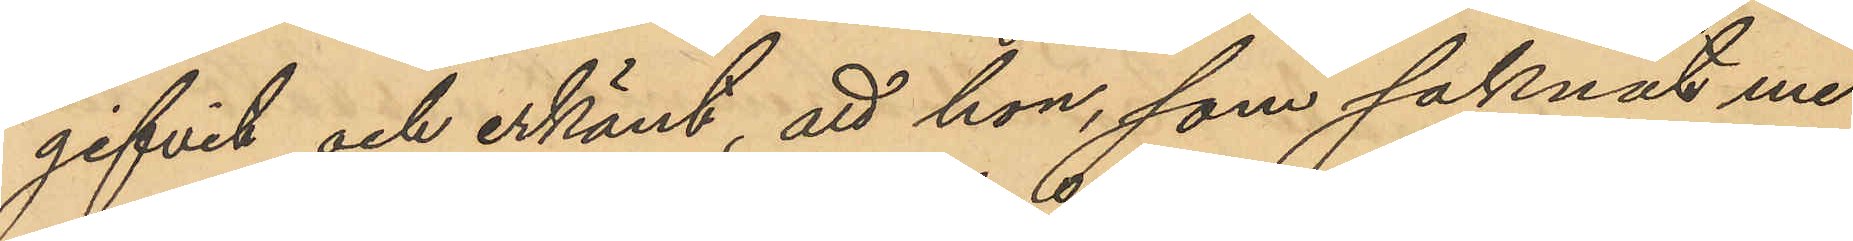gifvit och erkänt, att hon, som saknar me¬
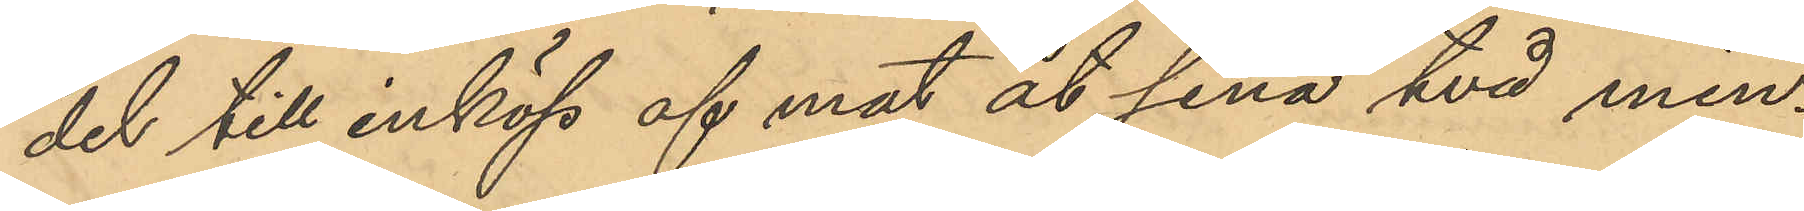del till inköp af mat åt sina två min¬
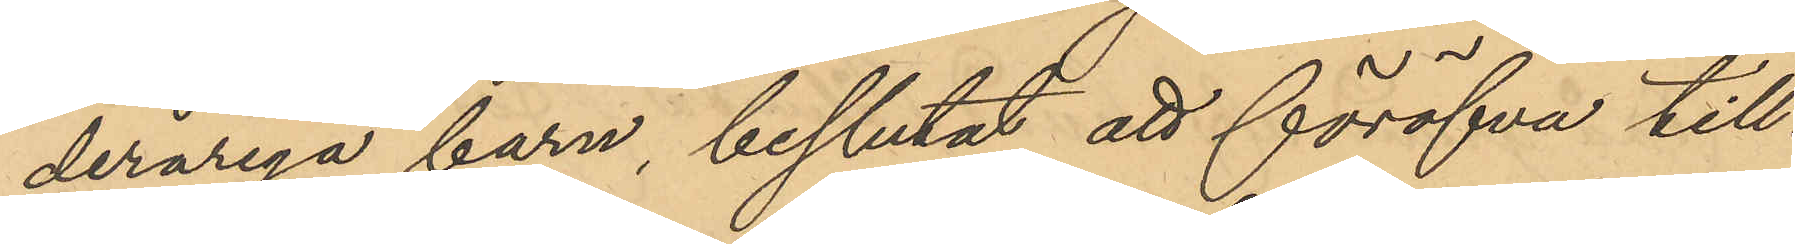deråriga barn, beslutat att föröfva till¬
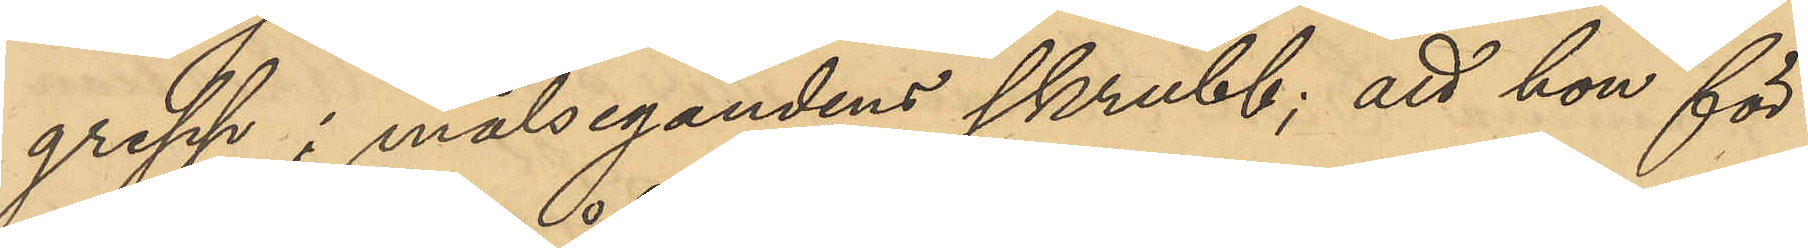grepp i målsegandens skrubb; att hon för
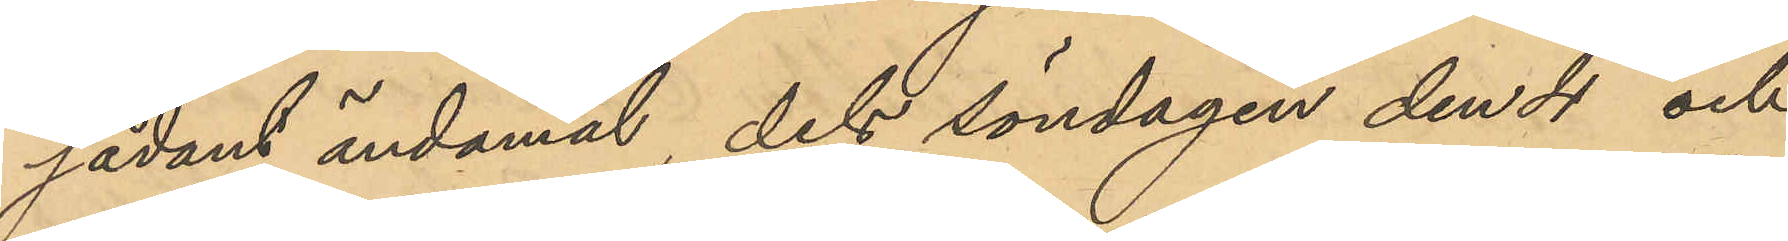sådant ändamål, dels söndagen den 4 och
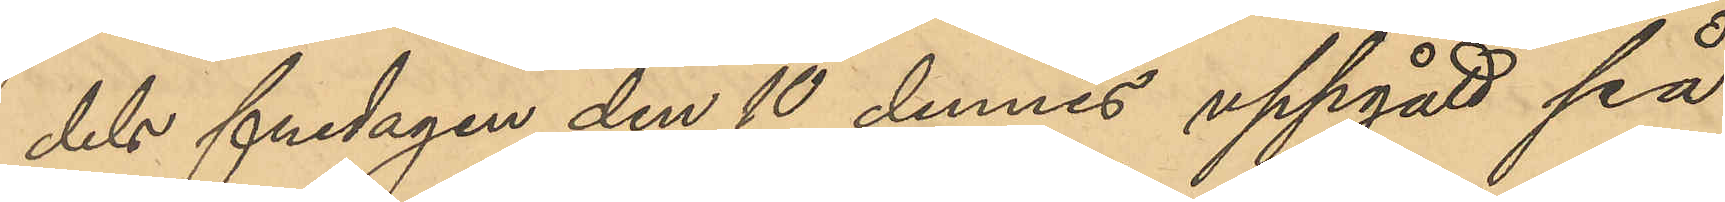dels fredagen den 10 dennes uppgått på
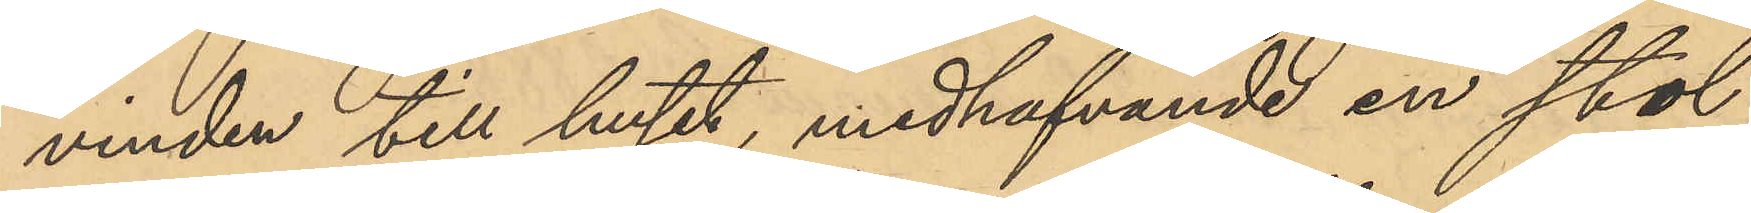vinden till huset, medhafvande en stol,
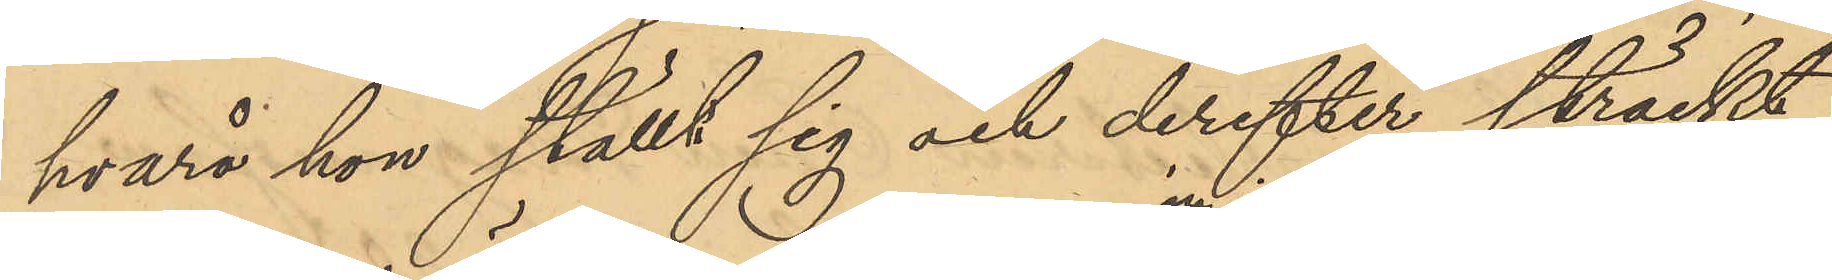hvarå hon ställt sig och derefter sträckt
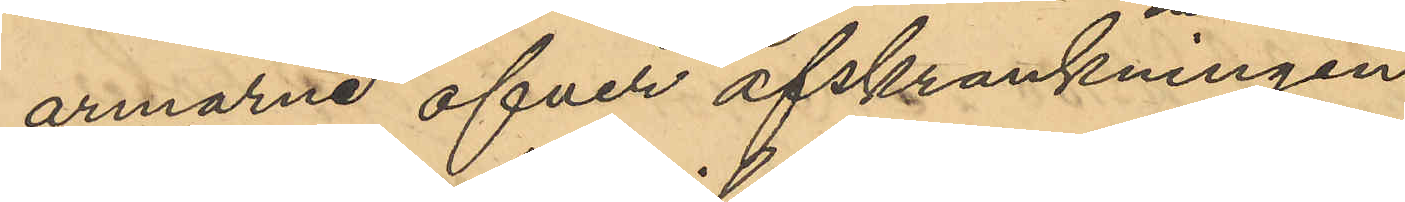armarna öfver afskrankningen 
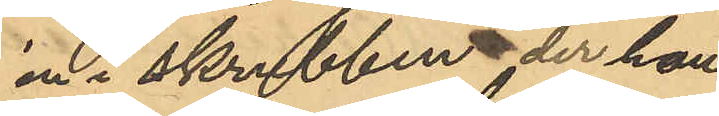in i skrubben, der hon
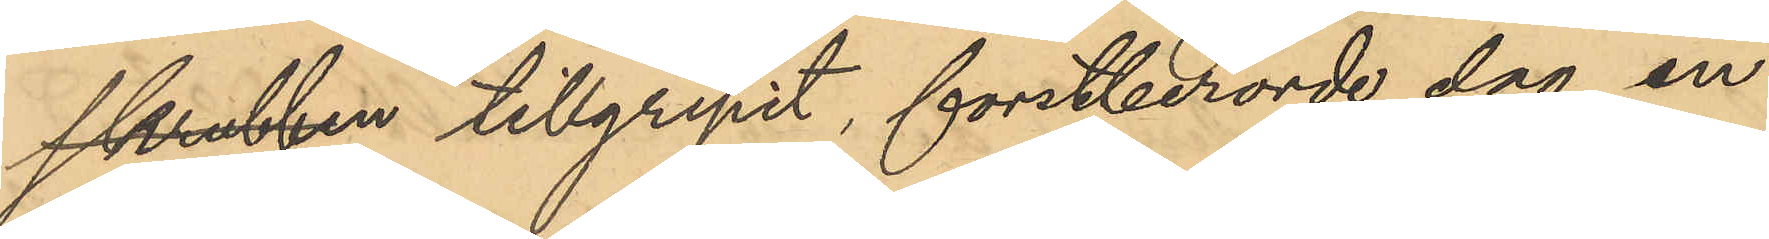skrubben tillgripit, forstberörde dag en
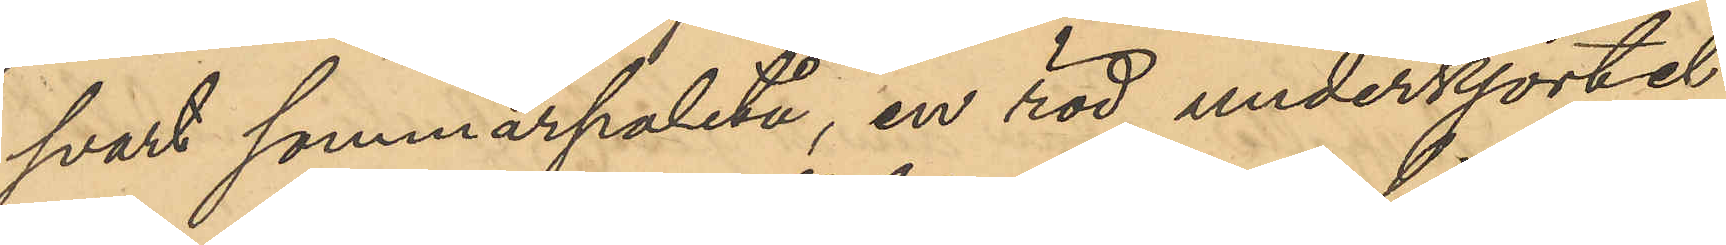svart sommarpaletå, en röd underkjortel
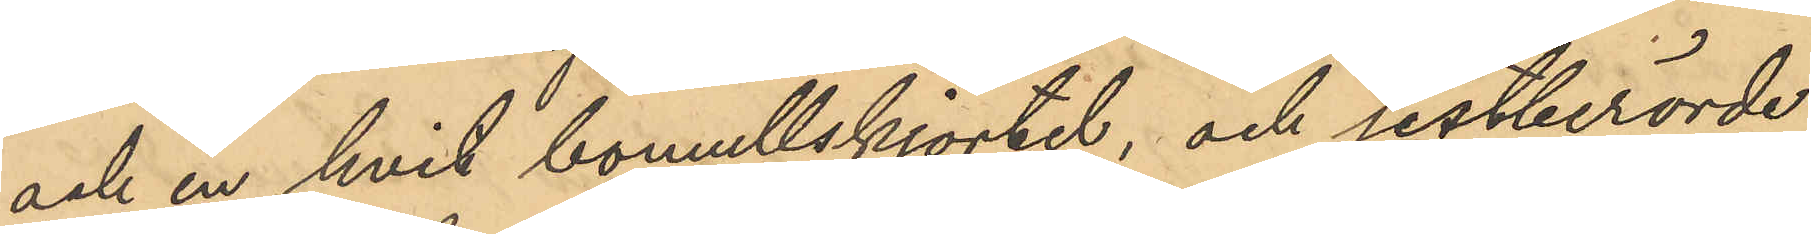och en hvit bomullskjortel, och sistberörde
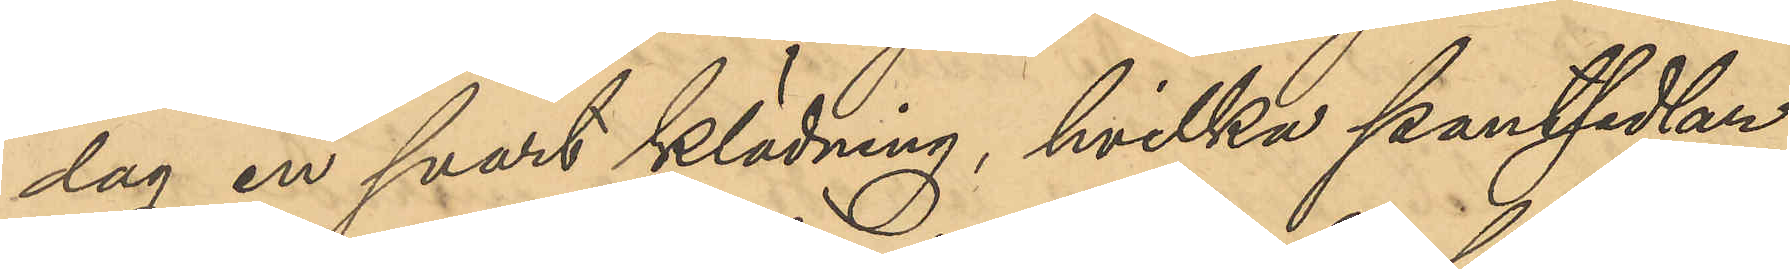dag en svart klädning, hvilka pantssedlar
